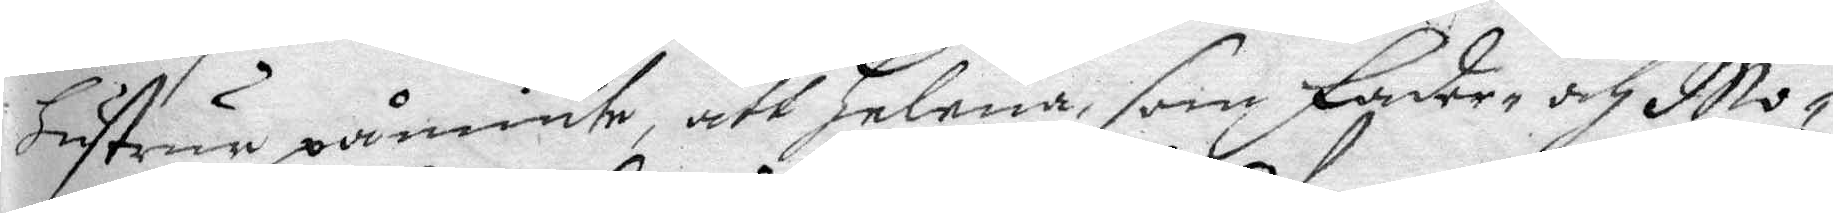hustrur påminte, att helena som Fader- och Mo¬
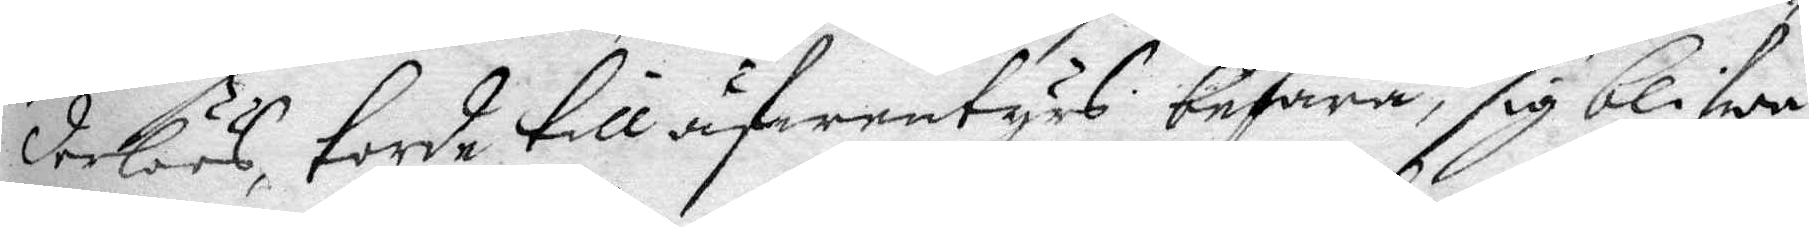derlöös, torde till äfwentyrs befara, sig blifwa
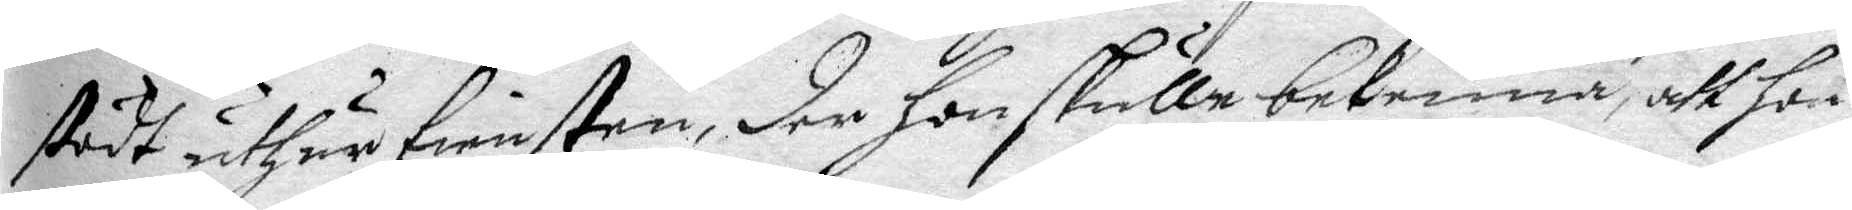stödt uthur tiensten, der hon skulle bekenna, att hon
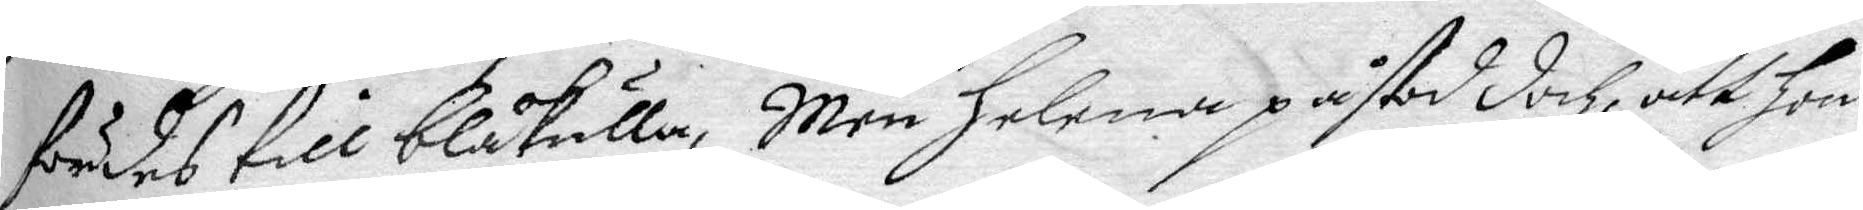fördes till blåkulla, Men helena påstod doch, att hon
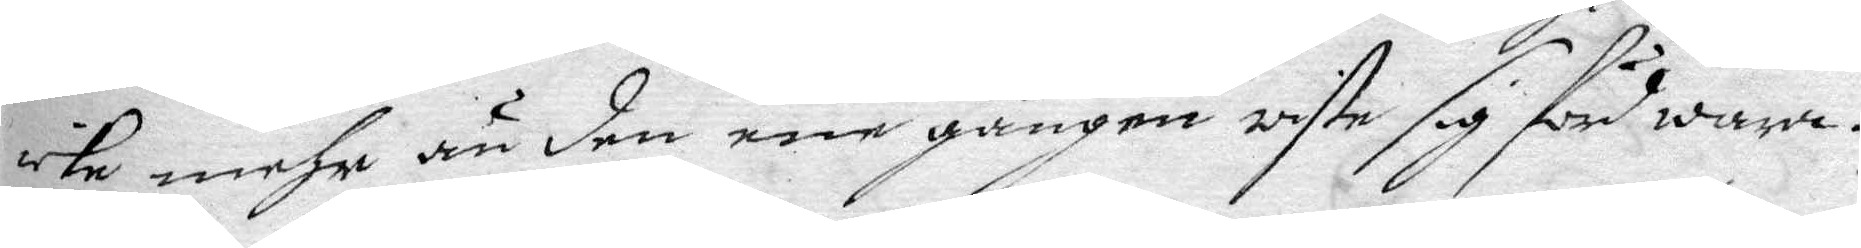icke mehr än den ene gången wiste sig förd wara.
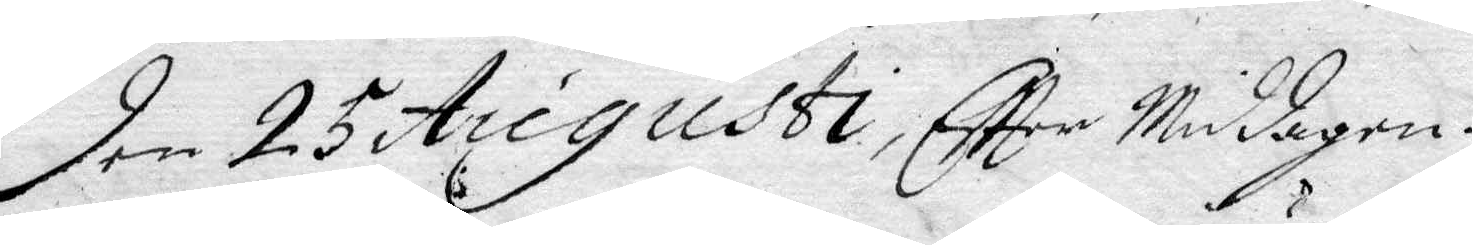Den 25 Augusti, Eftter Middagen.
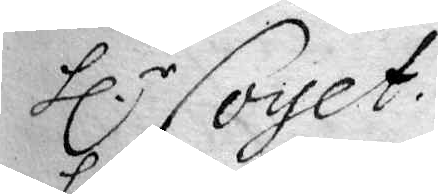hl.r Coyet.
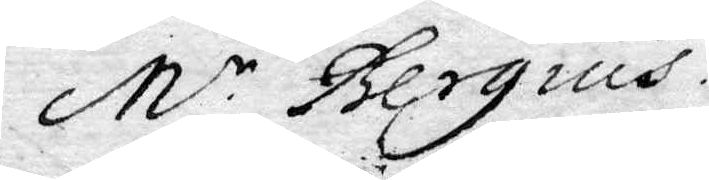M.r Bergius.
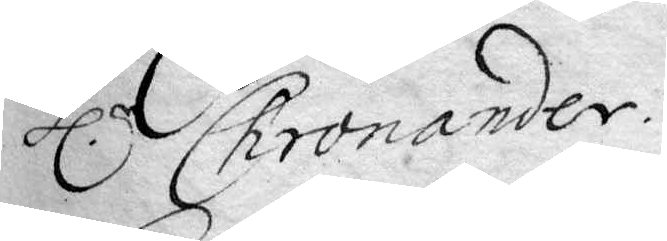hl.r Chronander. 
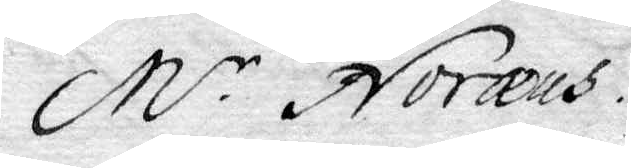M.r Noræus.
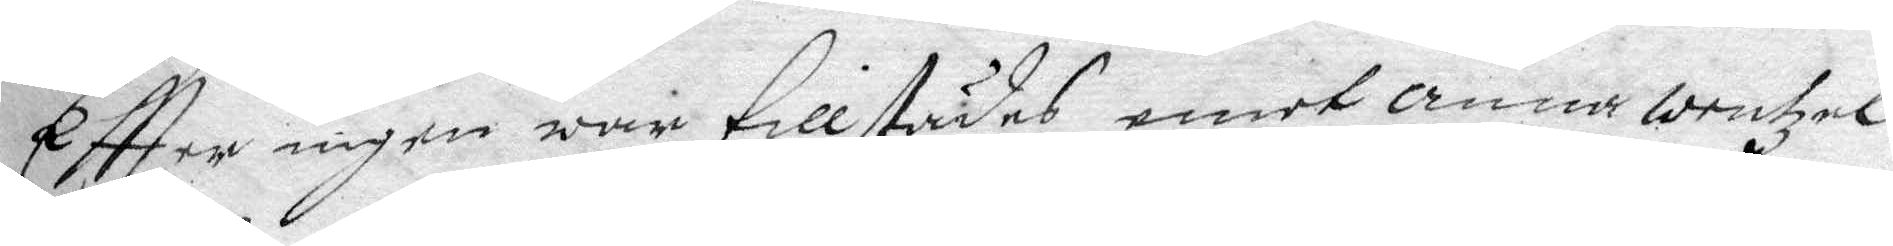Eftter ingen war tillstädes emot anna Wentzel
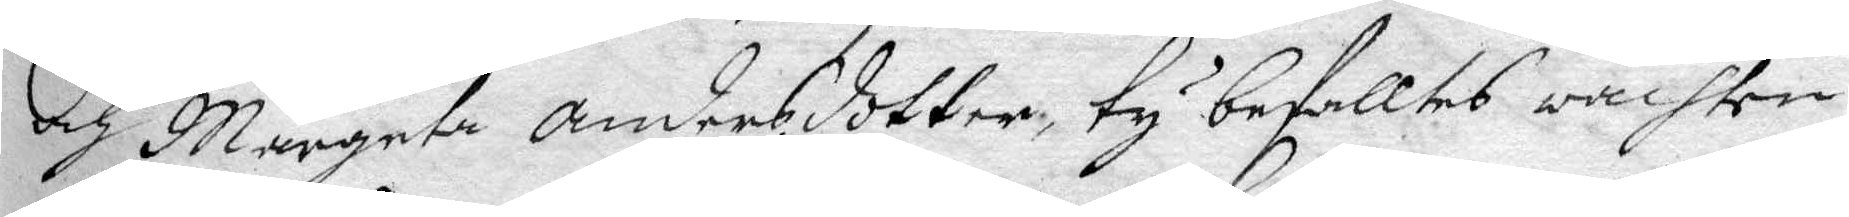och Margeta Andersdotter, ty befalltes wachten
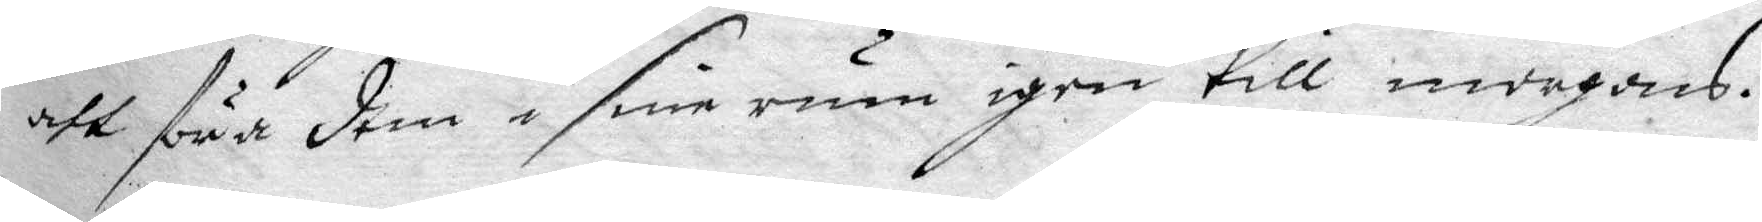att föra dem i sine rum igen till morgons.
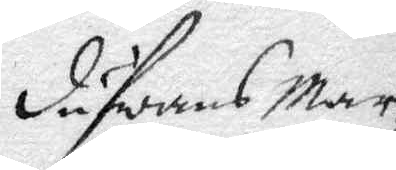Dufwans Mar¬
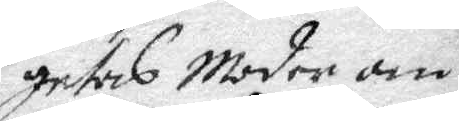geras Moder om
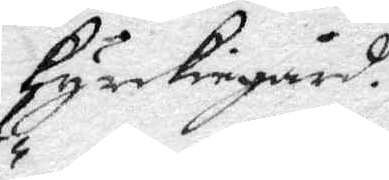kyrckiegård.
